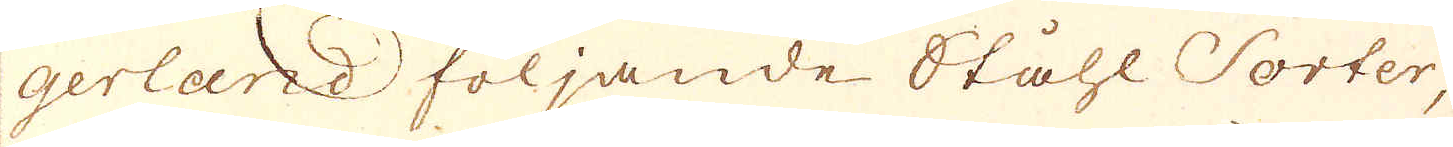gerland följande Ståhl Sorter,
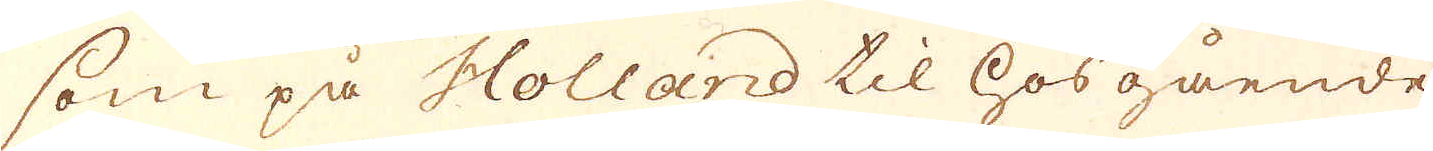som på Holland til hosgående
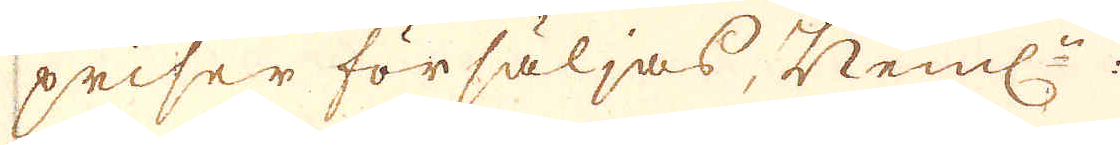priser försäljas, Neml:n:
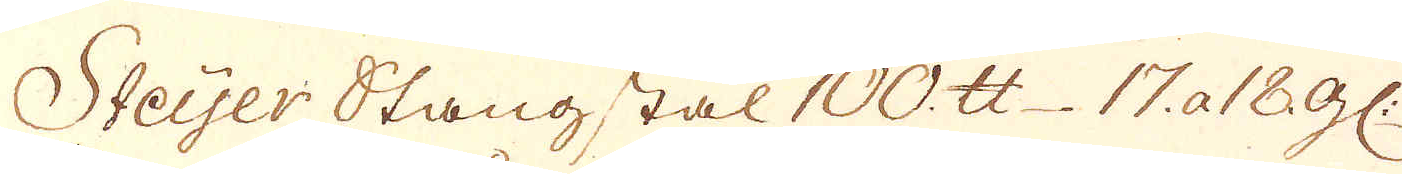Steijer Stangstal 100. skålpund 17. a 18 gl:
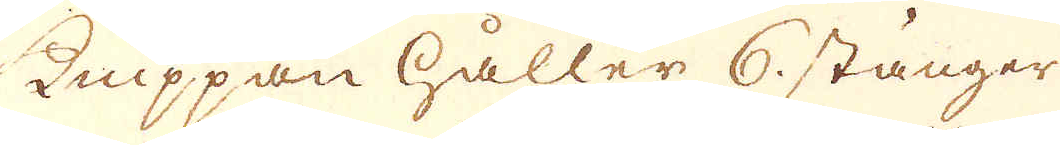knippan håller 6 stänger
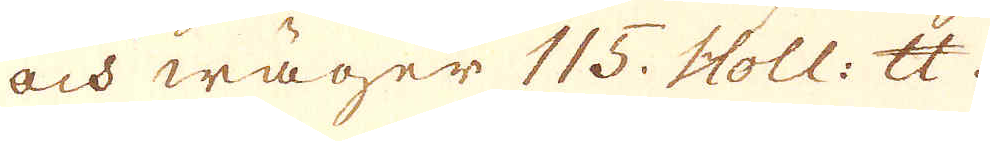och wäger 115. Holl: skålpund.
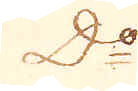D:o
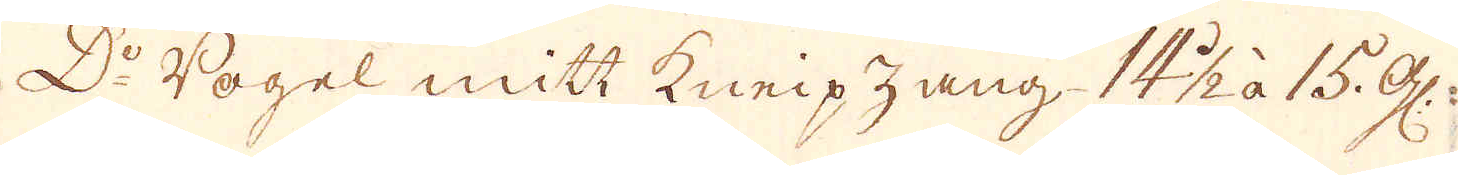D:o Vogel mitt kneipzang 14 1/2 à 15. gl:
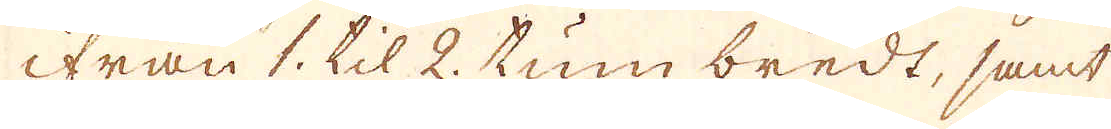ifrån 1. til 2. tum bredt, samt
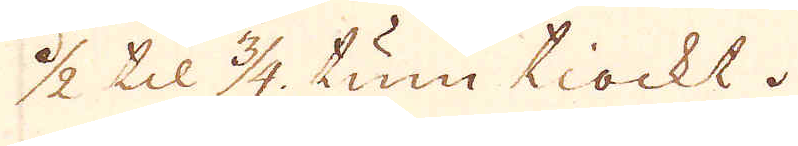1/2 til 3/4 tum tiockt.
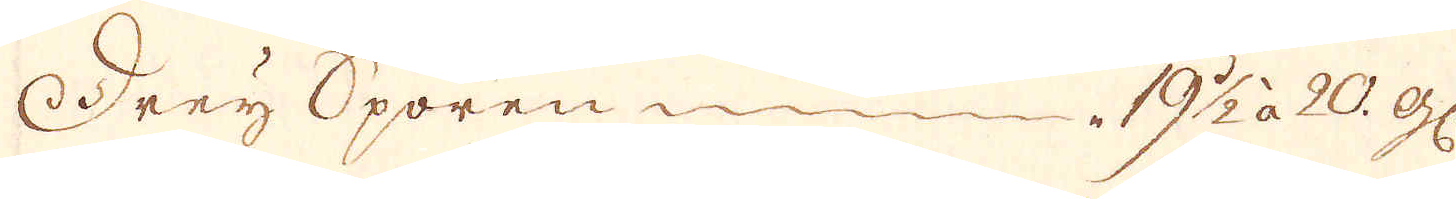Drey Sporen 19 1/2 à 20 gl:
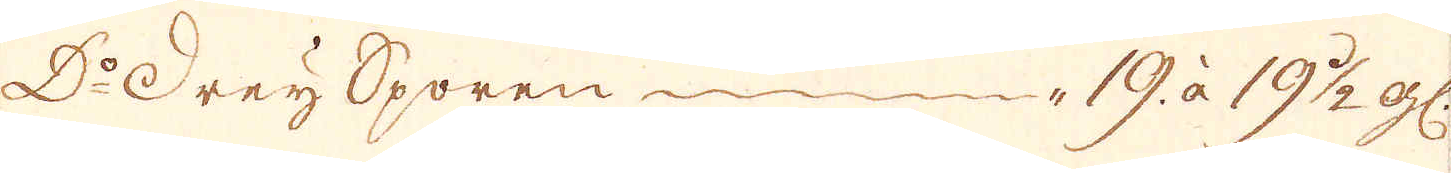Drey Sporen 19. à 19 1/2 gl:
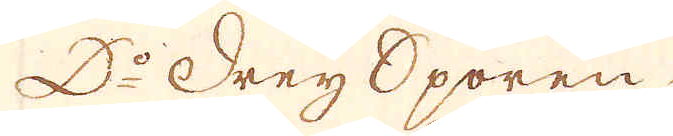D:o Drey Sporen 20 à 23 gl:
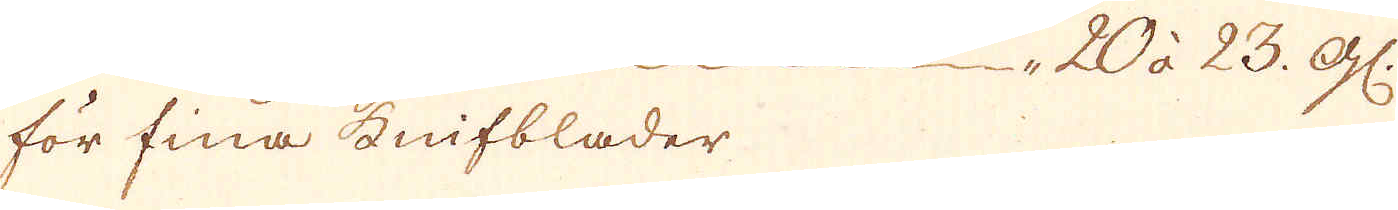för fina Knifblader 1 20 à 23. gl:
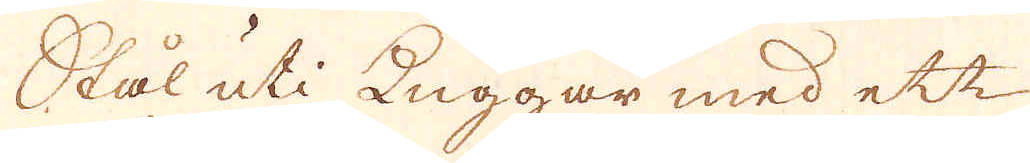Stål uti kuggar med ett
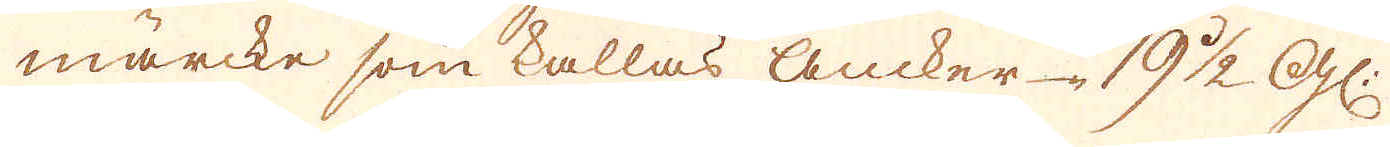märcke som kallas Ancker 19 1/2 gl:
